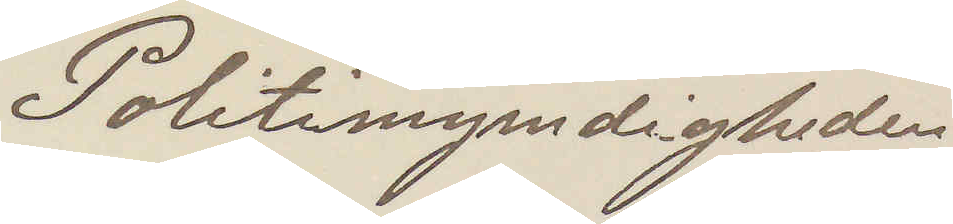Politimyndigheden
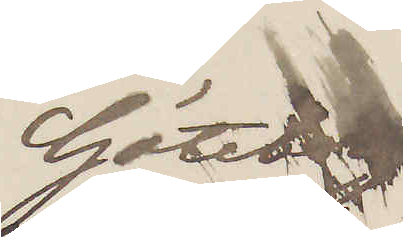Göteborg
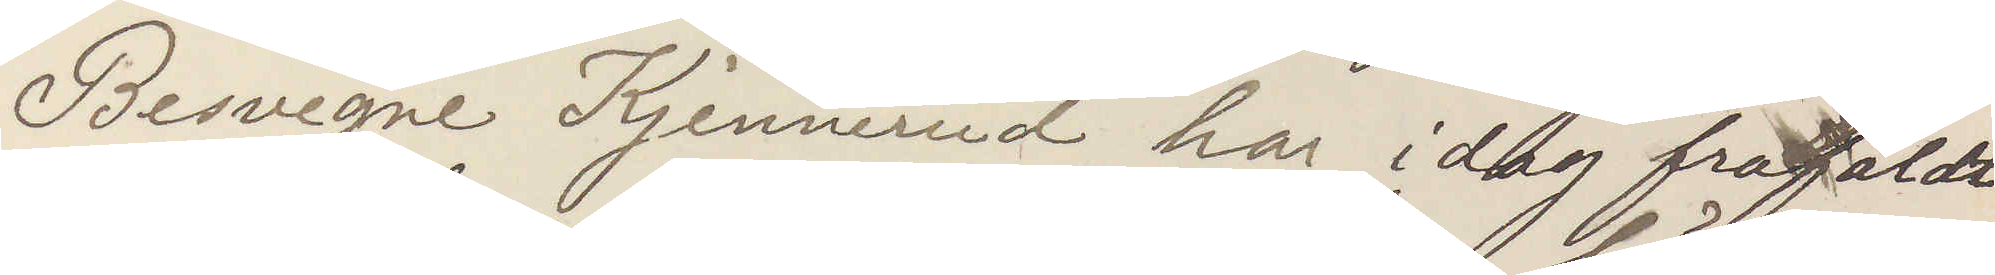Besvegne Kjennerud har idag frafaldt
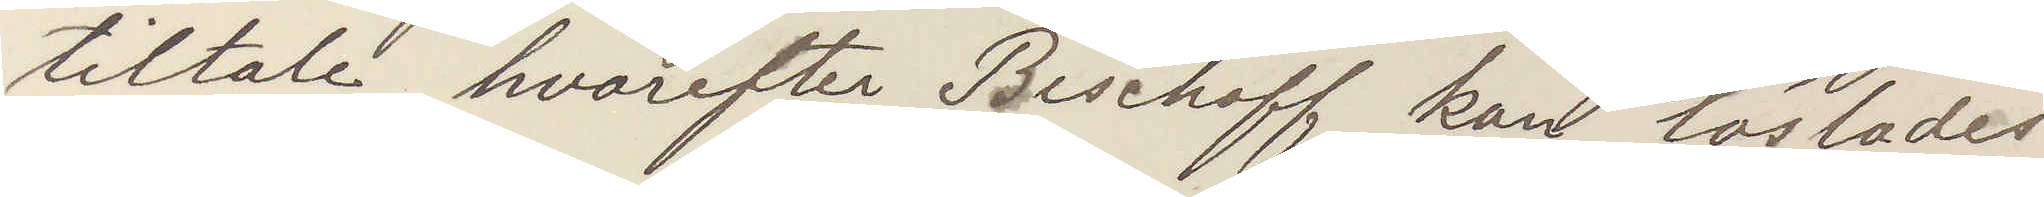tiltale, hvarefter Bischoff kan löslades
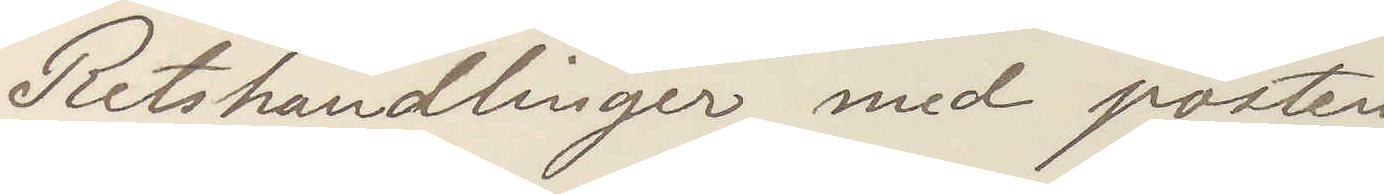Retshandlinger med posten
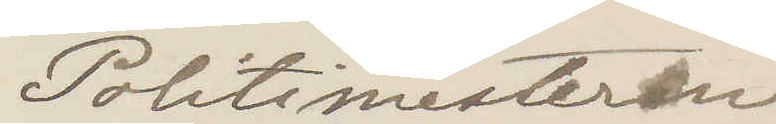Politimesteren
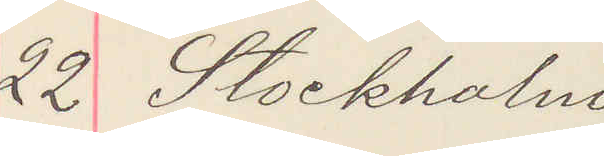22 Stockholm
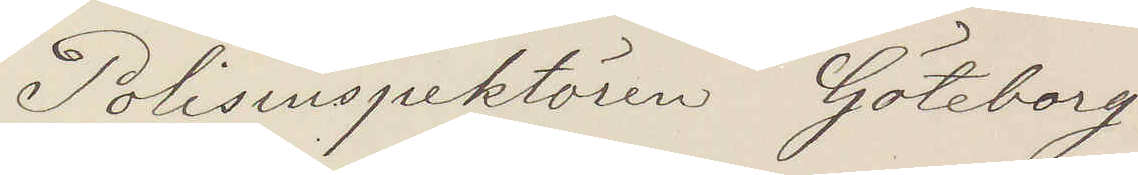Polisinspektören Göteborg
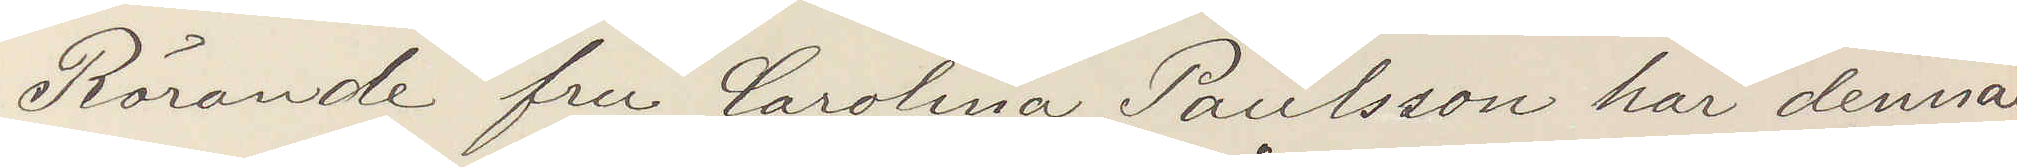Rörande fru Carolina Paulsson har denna
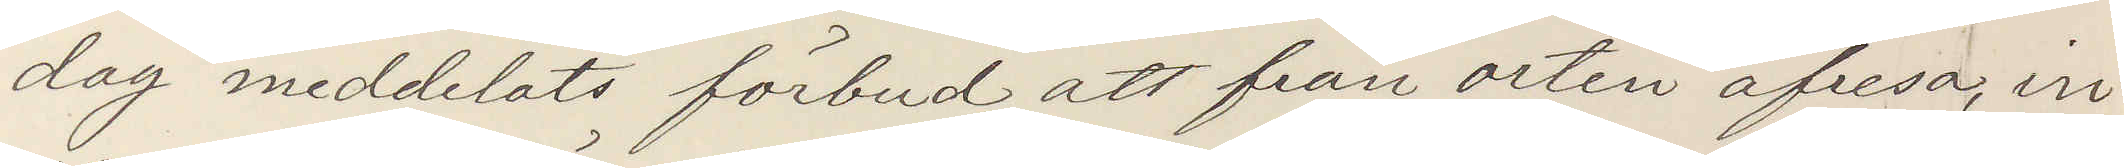dag meddelats förbud att från orten afresa, in¬
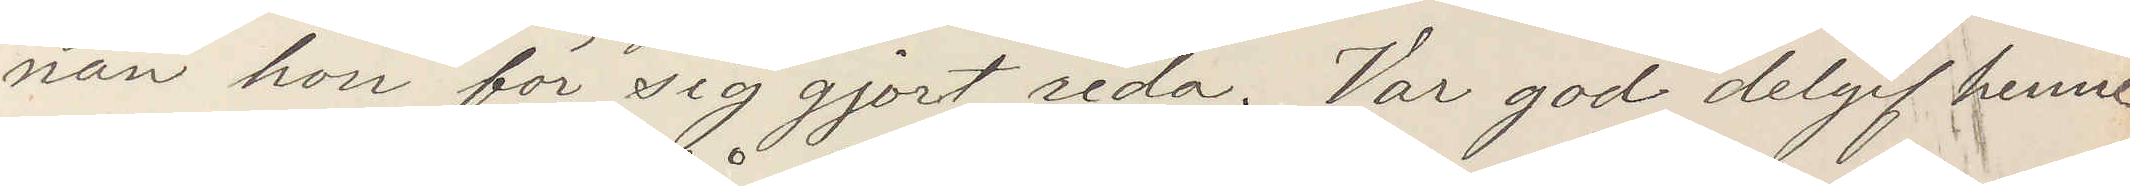nan hon för sig gjort reda. Var god delgif henne
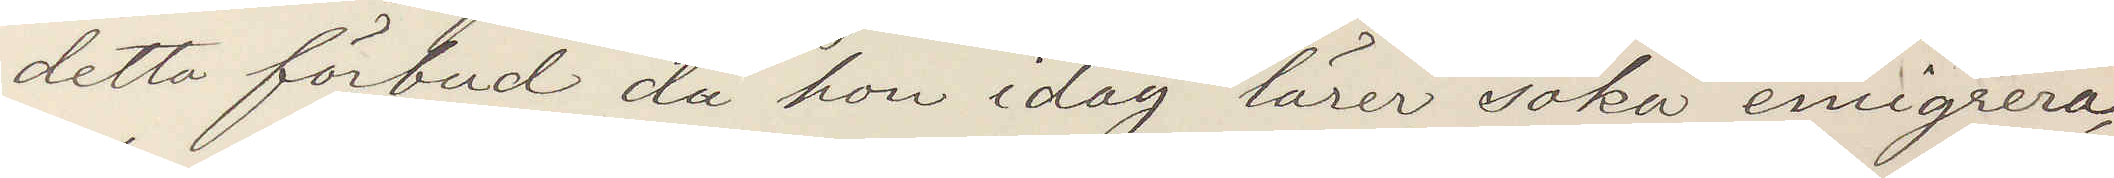detta förbud då hon idag lärer söka emigrera
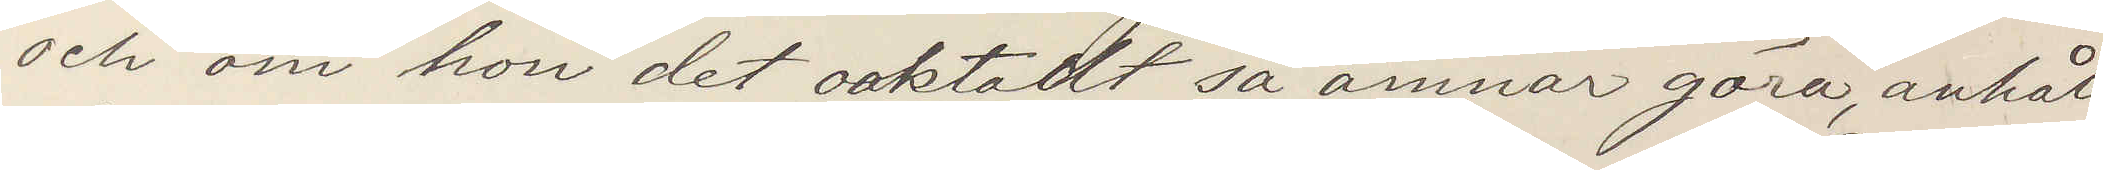och om hon oaktadt så ämnar göra, anhåll
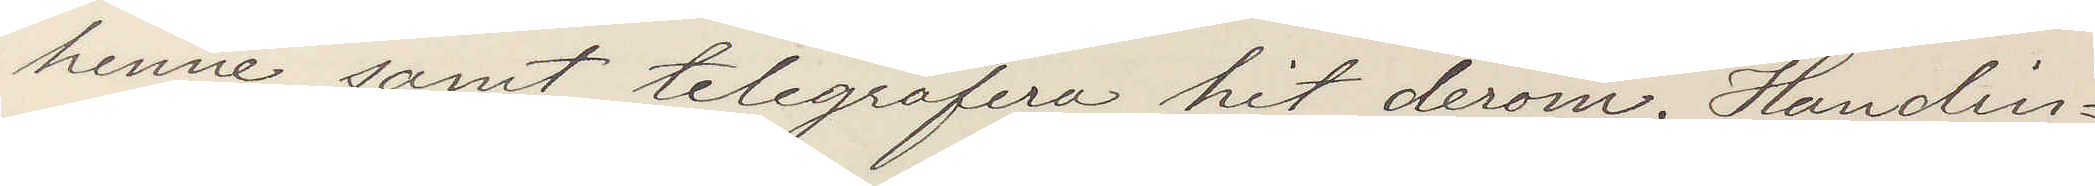henne samt telegrafera hit derom. Handin¬
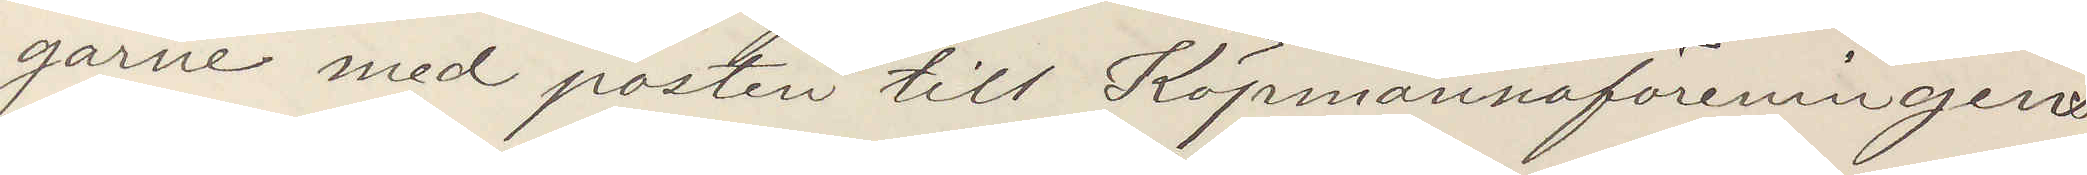garne med posten till Köpmannaföreningens
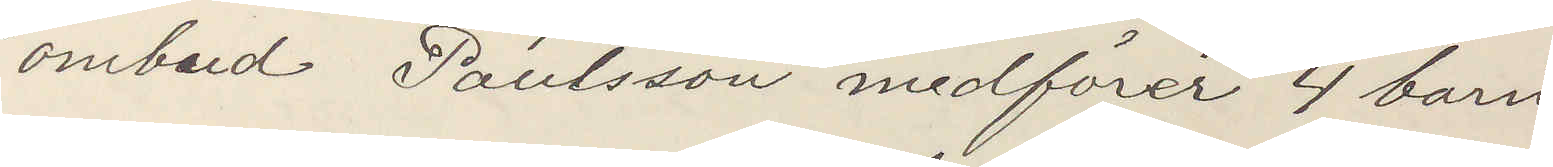ombud. Paulsson medförer 4 barn
